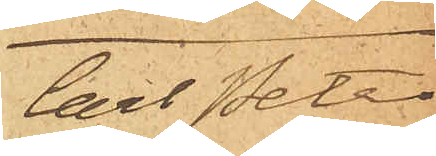Carl Peter
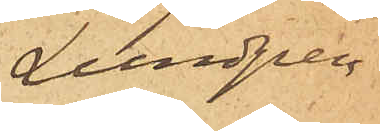Lundgren
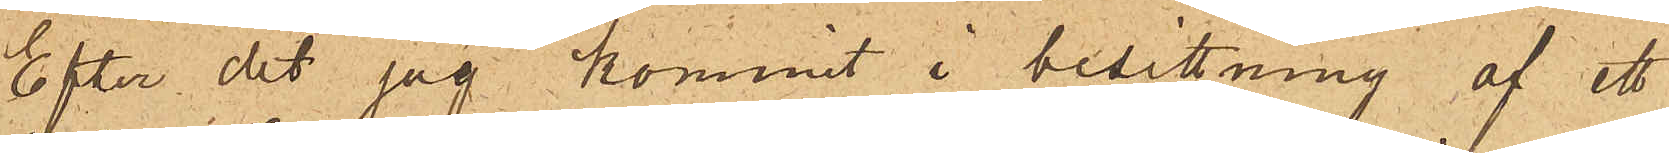Efter det jag kommit i besittning af ett
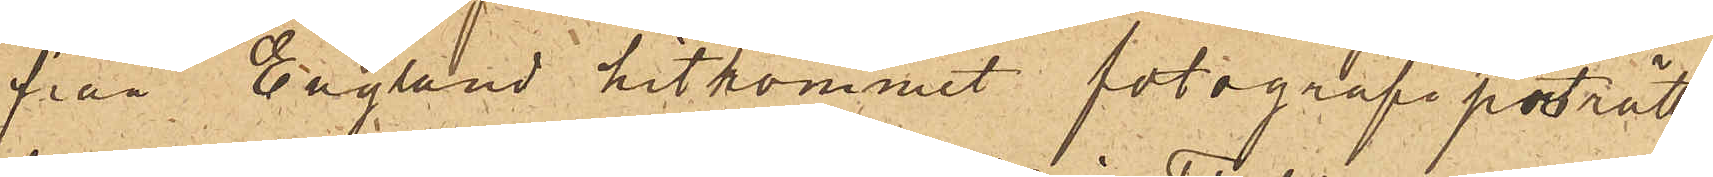från England hitkommet fotografiporträtt,
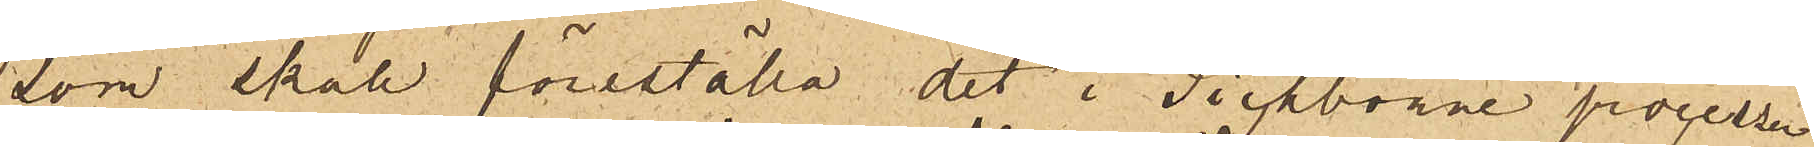som skall föreställa det i Tichborne processen
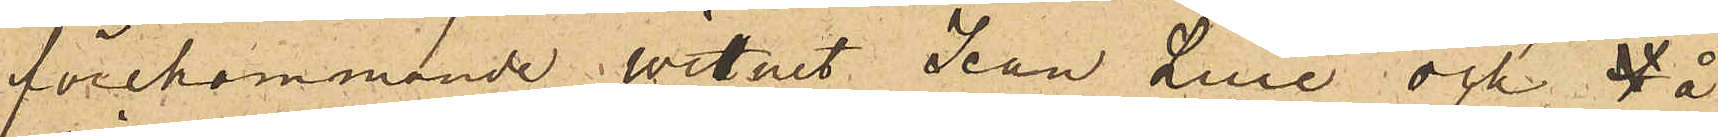förekommande witnet Jean Luie och å
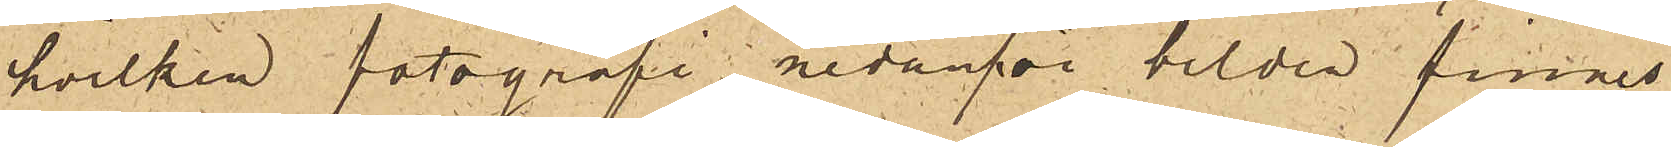hvilken fotografi nedanför bilden finnes
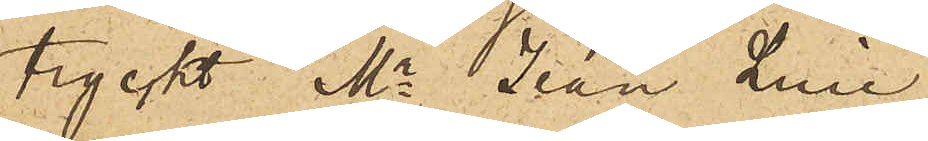tryckt "Mr. Jean Luie
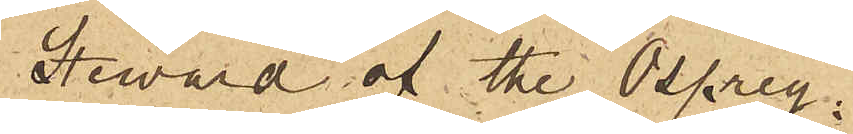Steward of the Osprey.
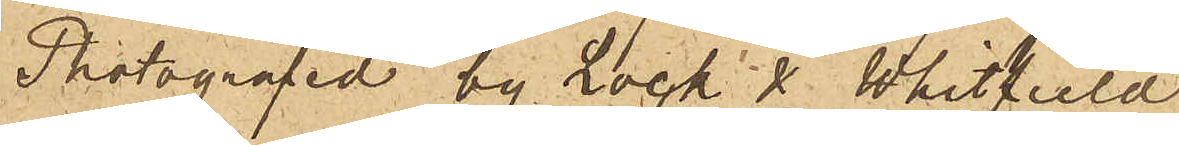Photographed by Lock & Whitfield
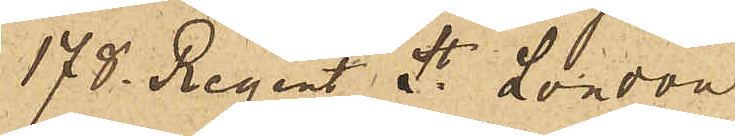178 . Regent St. London
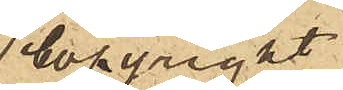Copyright
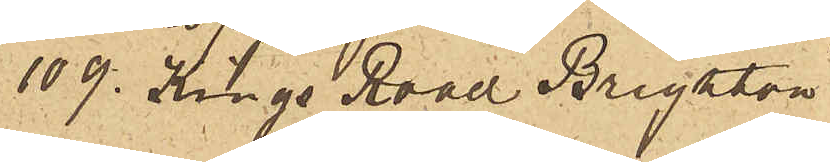109. Kings Road Brighton"
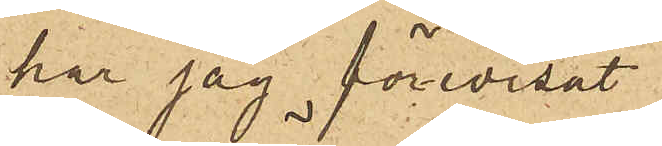har jag förevisat
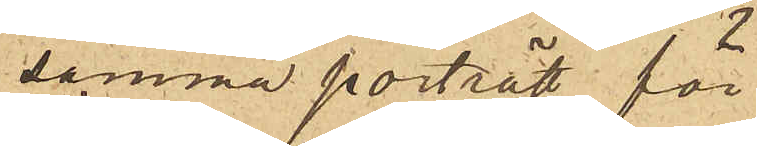samma porträtt för
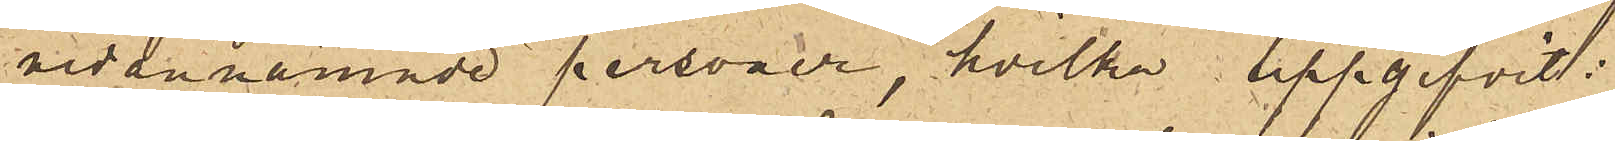nedannämnde personer, hvilka uppgifvit:
